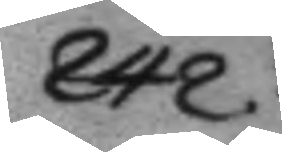242.
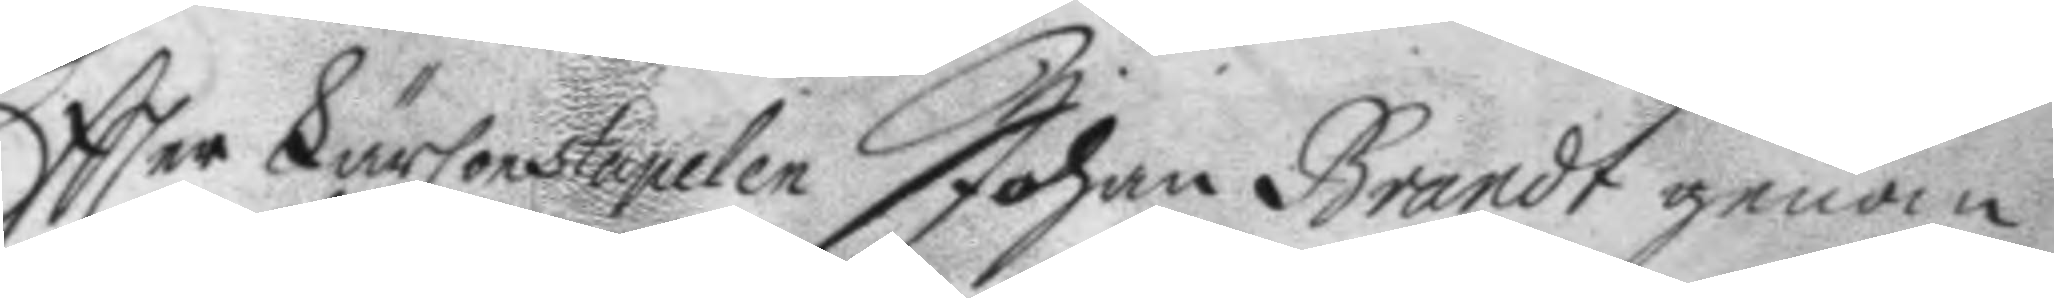Eftter LärConstapelen Johan Brandt genom
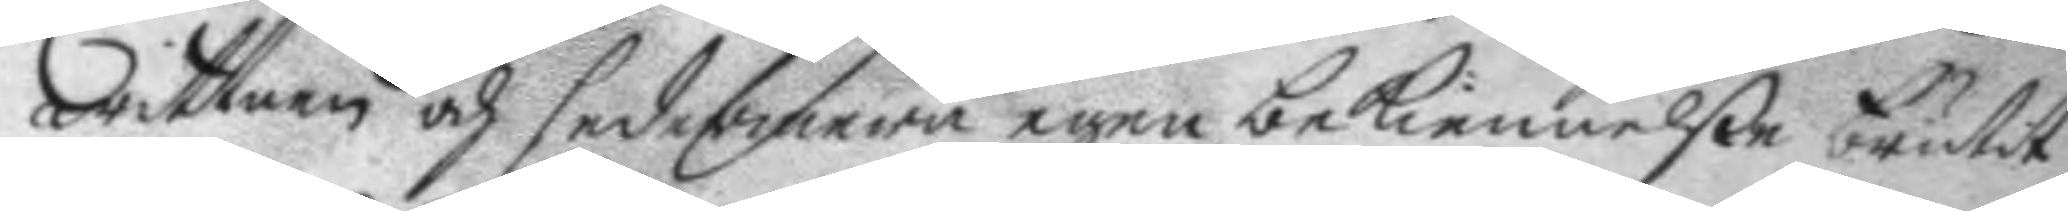wittnen och sedermera egen bekiennelße brutit
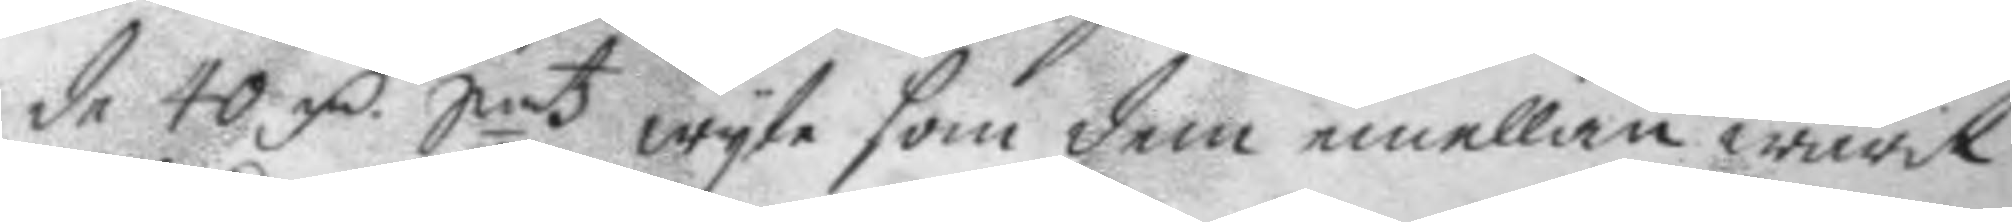de 40 mC Smt wyte som dem emellan warit
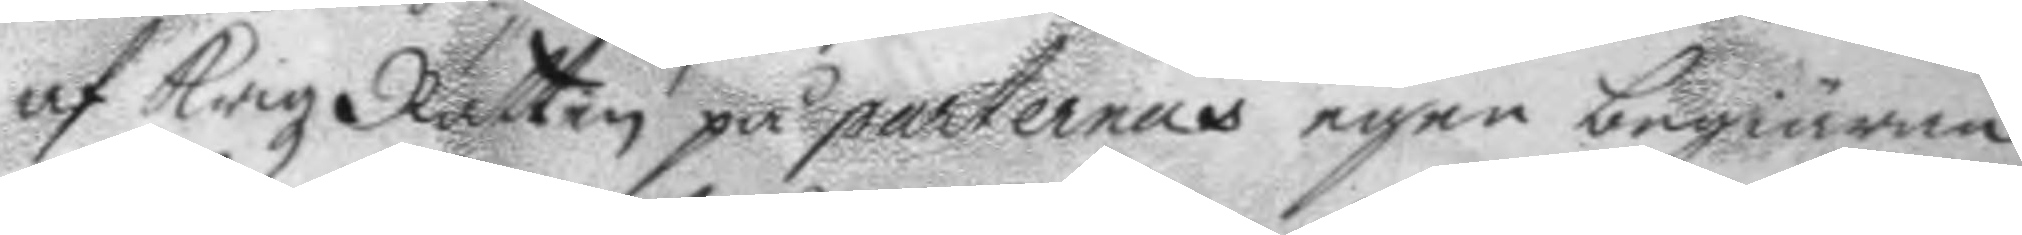af Krigz Rätten på parternas egen begiäran
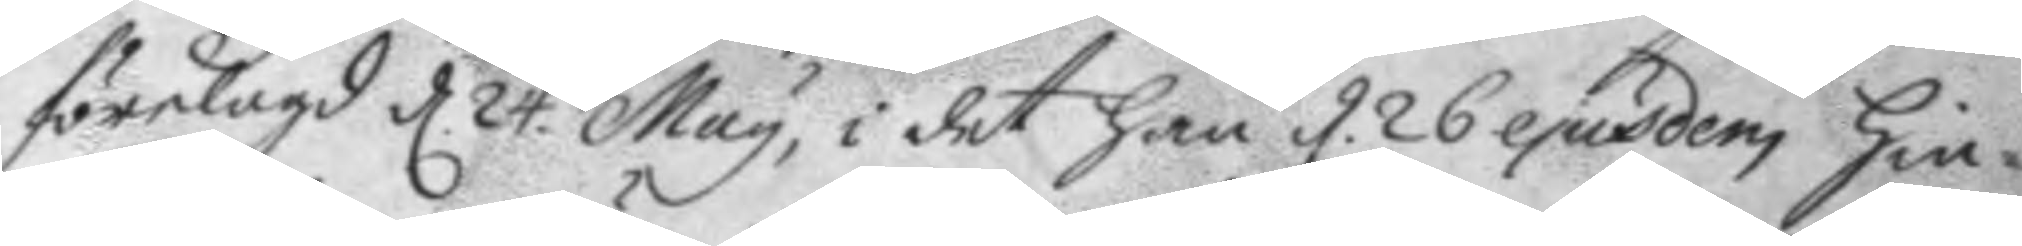förelagd d. 24 May, i det han d. 26 ejusdem hin¬
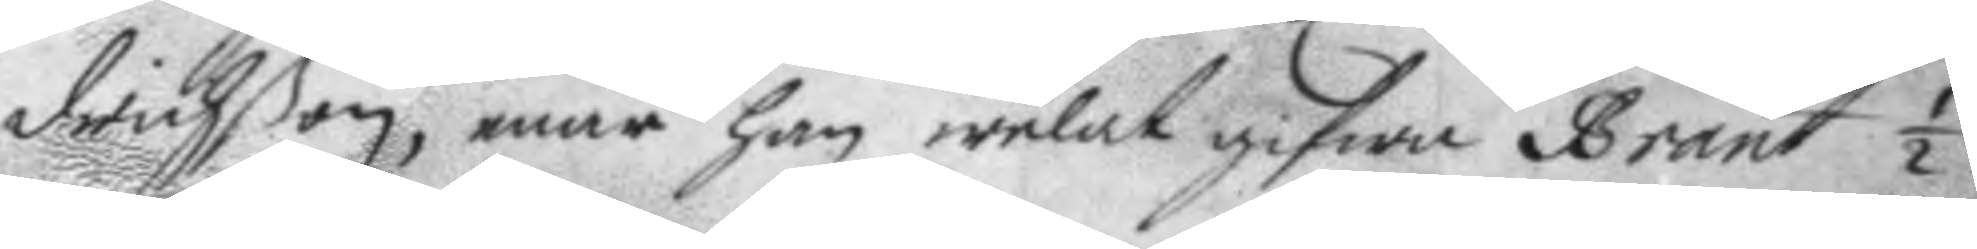drichßon, enär han welat gifwa Brant ½
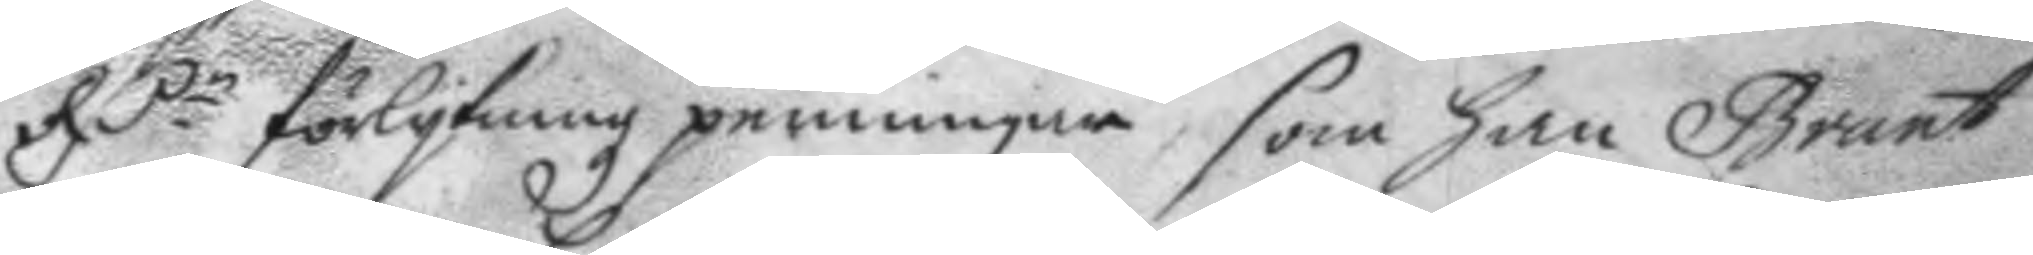RC.r förlykningz penningar som han Brant
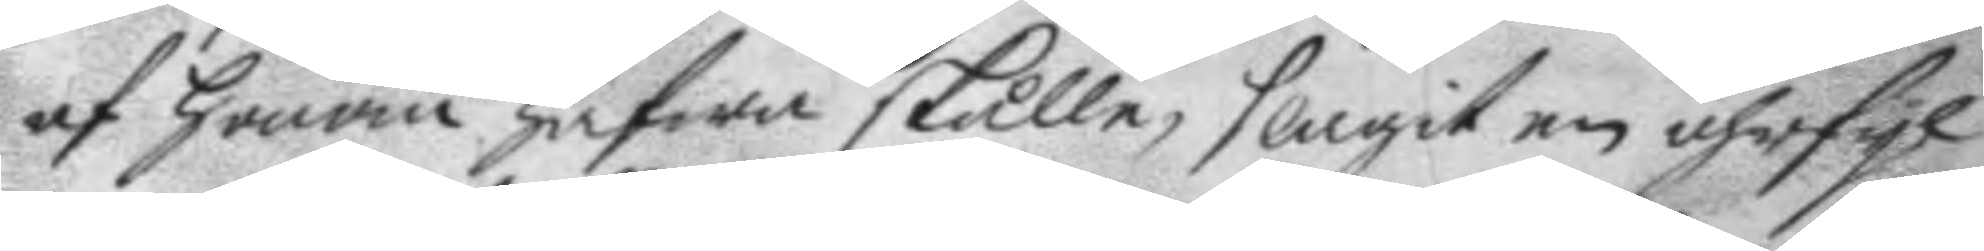af honom hafwa skulle, slagit en öhrfyl
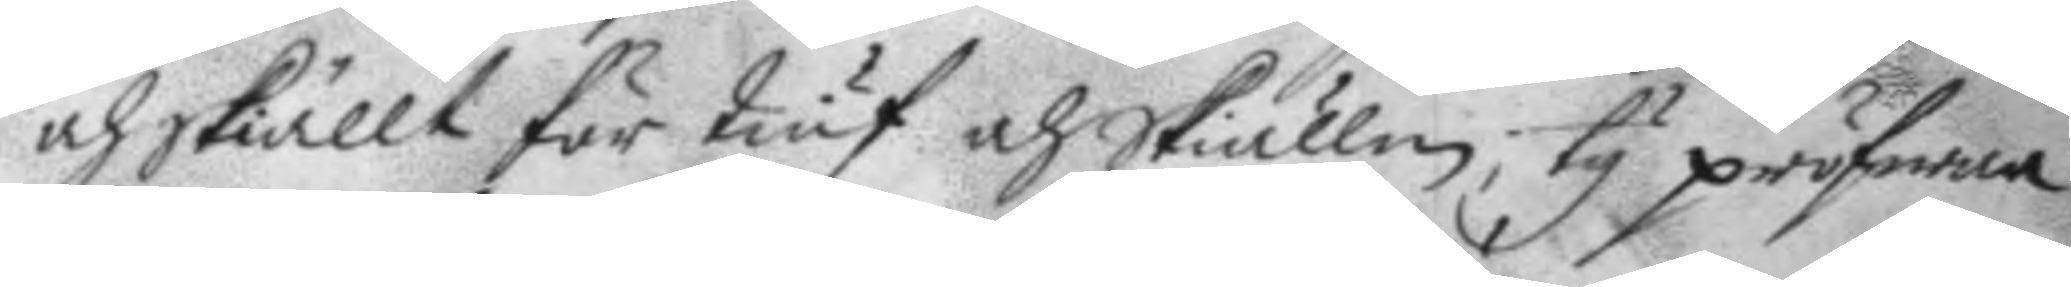och Skiällt för tiuf och Skiällm, ty pröfwar
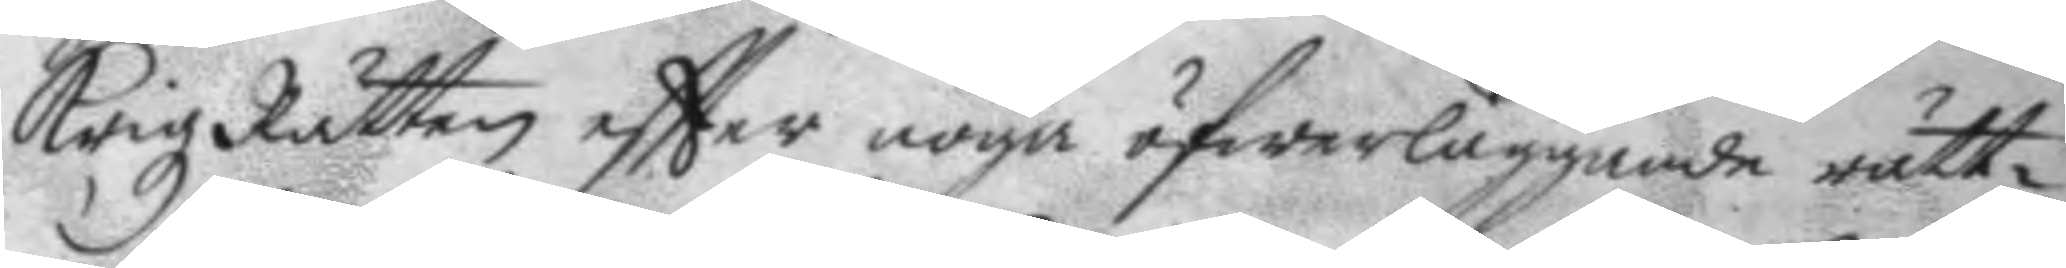KrigzRätten eftter noga öfwerläggande rätt¬
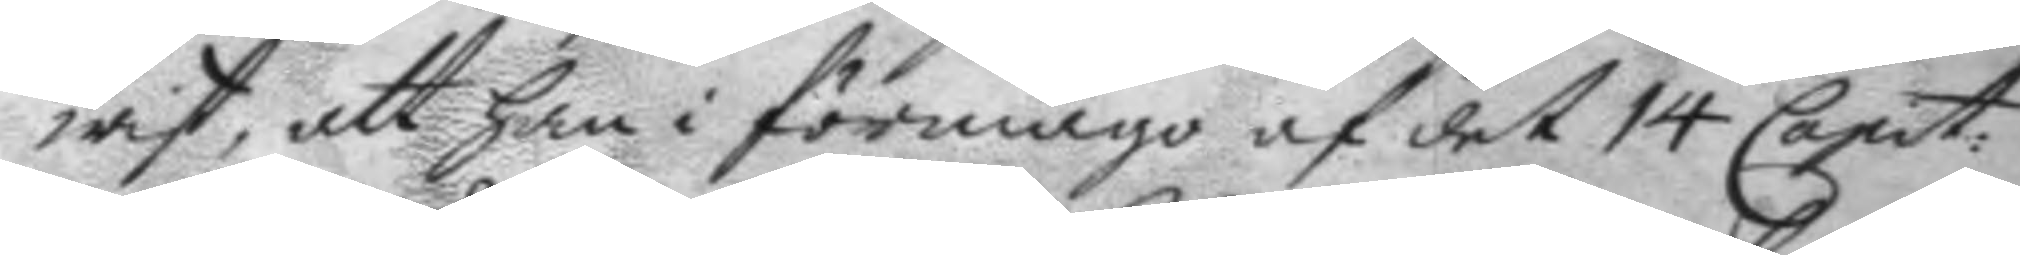wist, att han i förmågo af det 14 Capit:
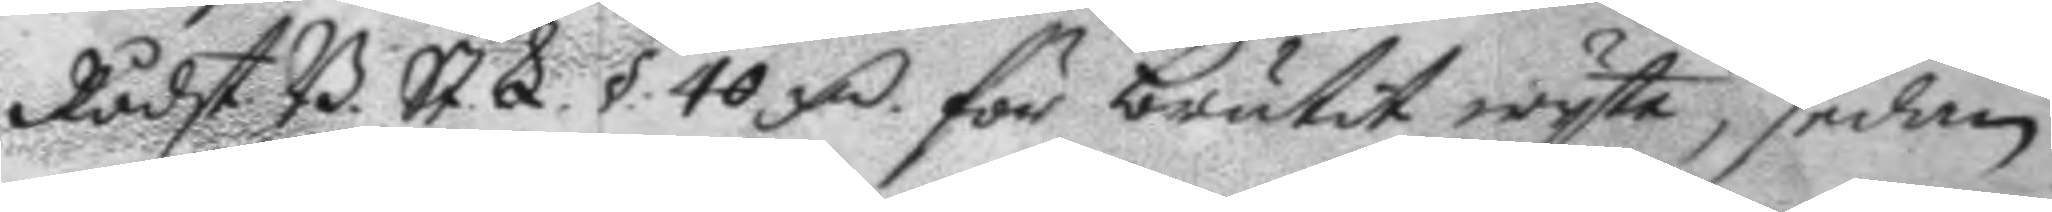Rådst. B. St. L. §. 40 mC för brukat wyte, sedan
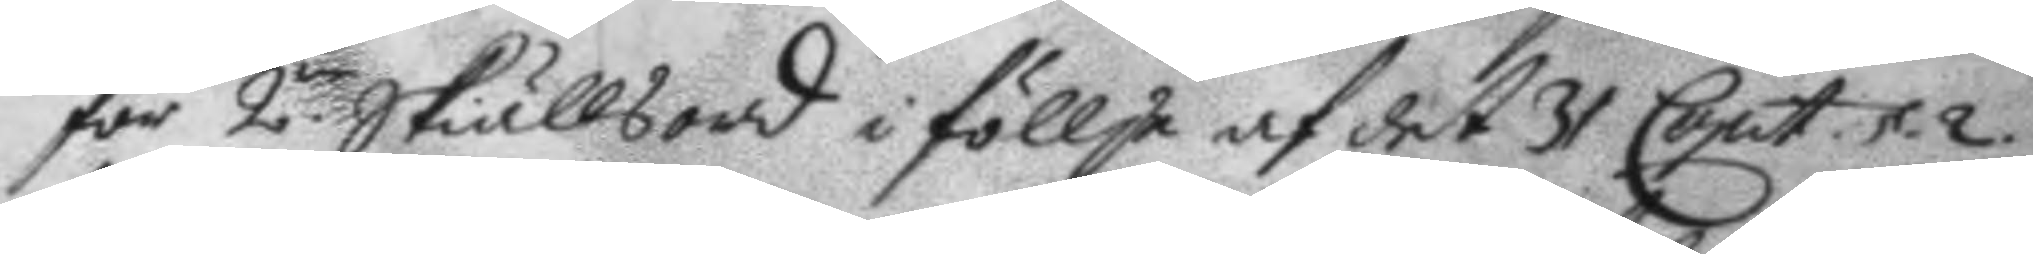för 2.ne Skiällsord i föllje af det 31 Capit. §. 2.
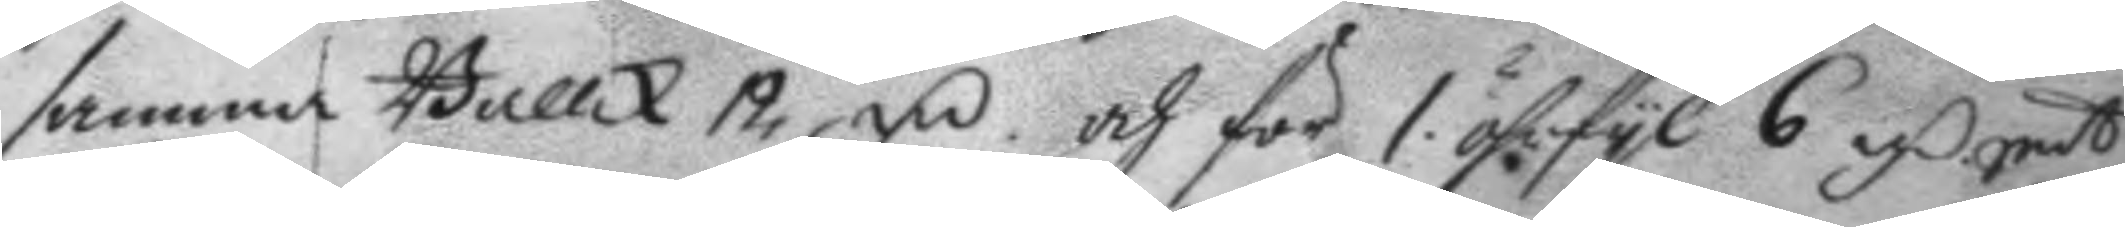samma Ballk 12 mC och för 1 öhrfyl 6 mC Smt
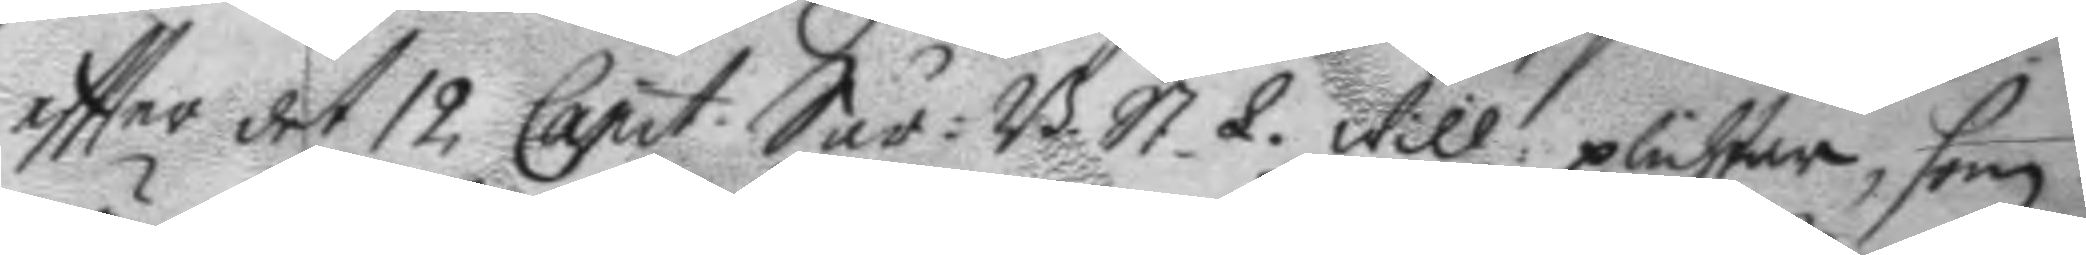eftter det 12 Capit. Sår: B. St. L. Will plichta, som
